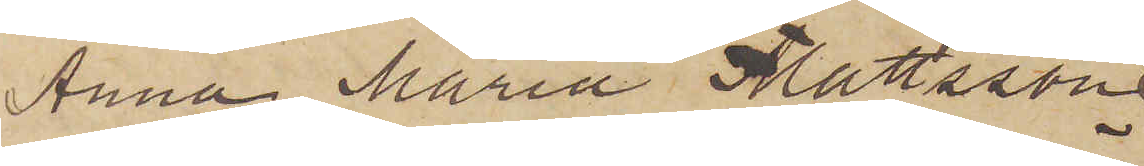Anna Maria Mattsson
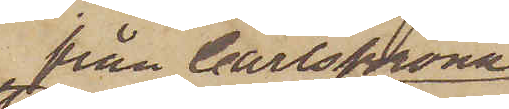från Carlskrona
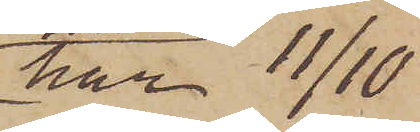har 11/10
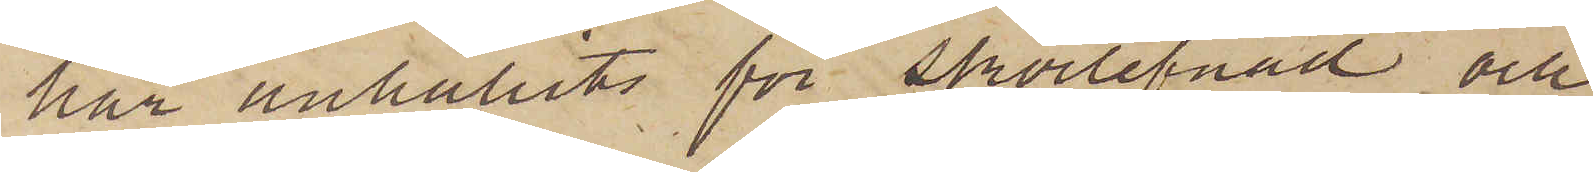här anhållits för skörlefnad och
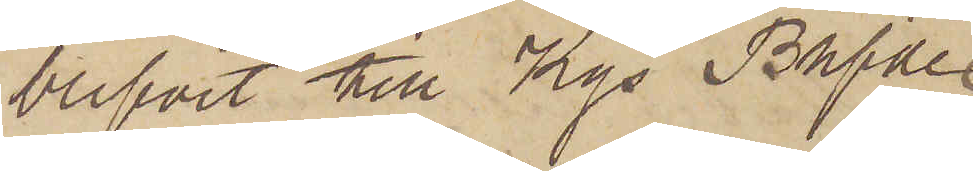blifvit till Kgs Bhfde
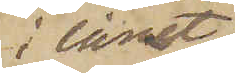i länet
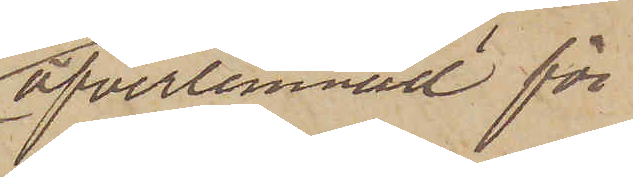öfverlemnad för
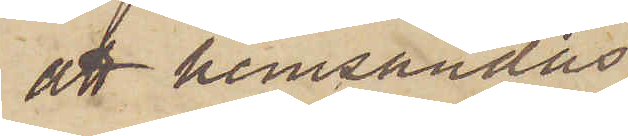att hemsändas.
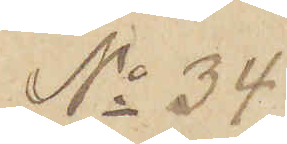No 34.
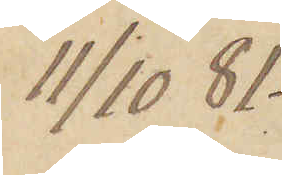11/10  81
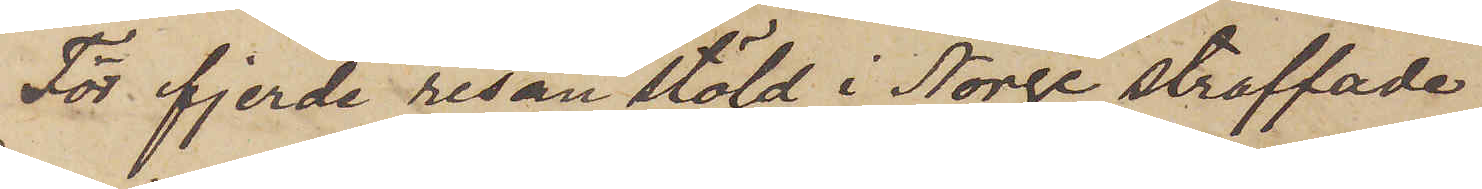För fjerde resan stöld i Norge straffade
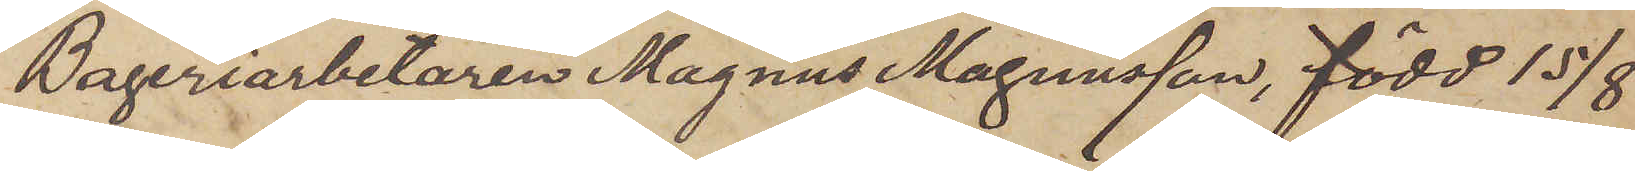Bageriarbetaren Magnus Magnusson, född 15/8
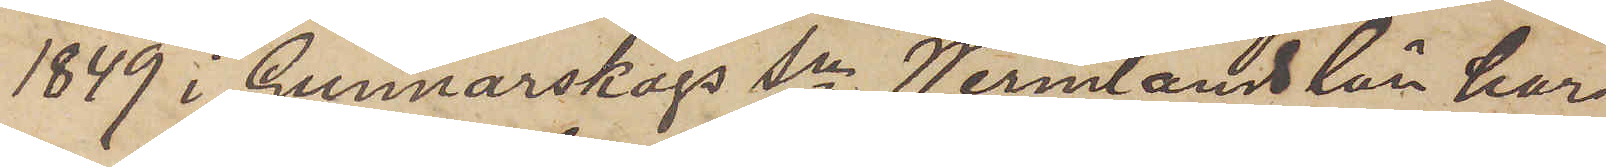1849 i Gunnarskogs sn Wermlands län har
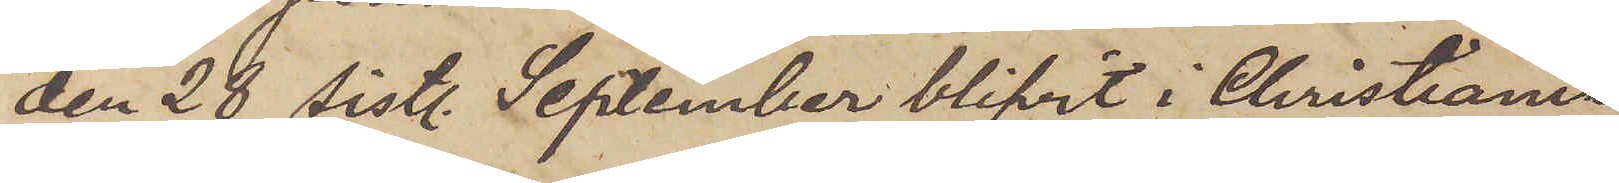den 28 sistl. September blifvit i Christiania
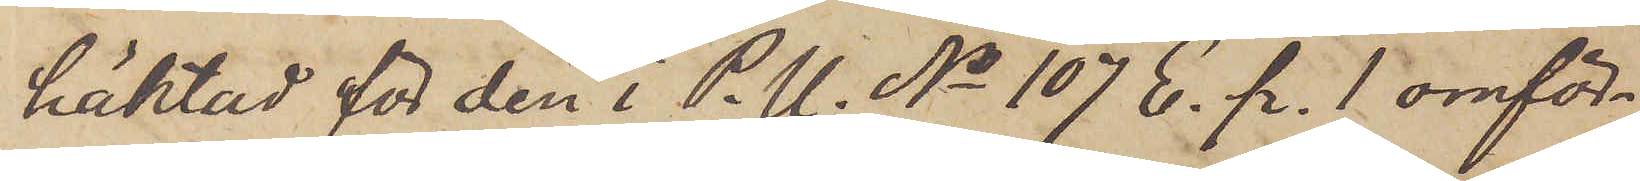häktad för den i P.U. No 107 E. p. 1 omför¬
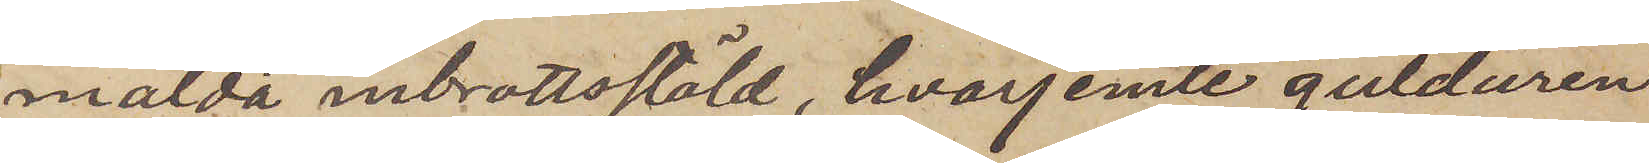mälda inbrottsstöld, hvarjemte gulduren
